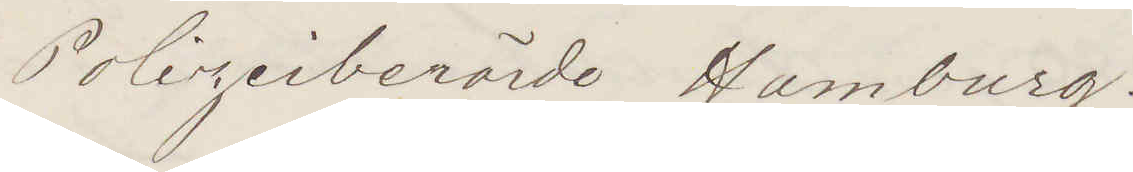Polizeiberörde Hamburg.
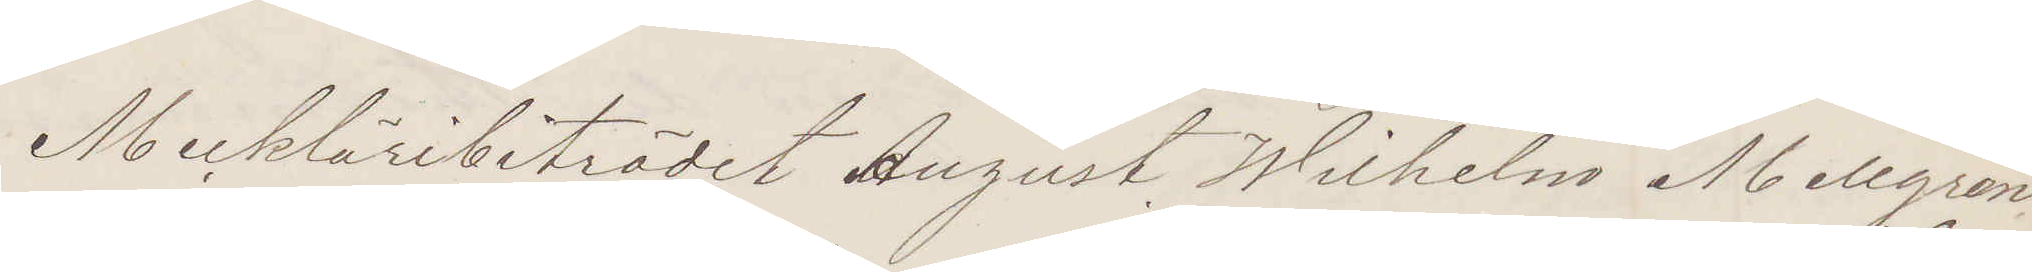Merkleribiträdet August Wilhelm Mellgren
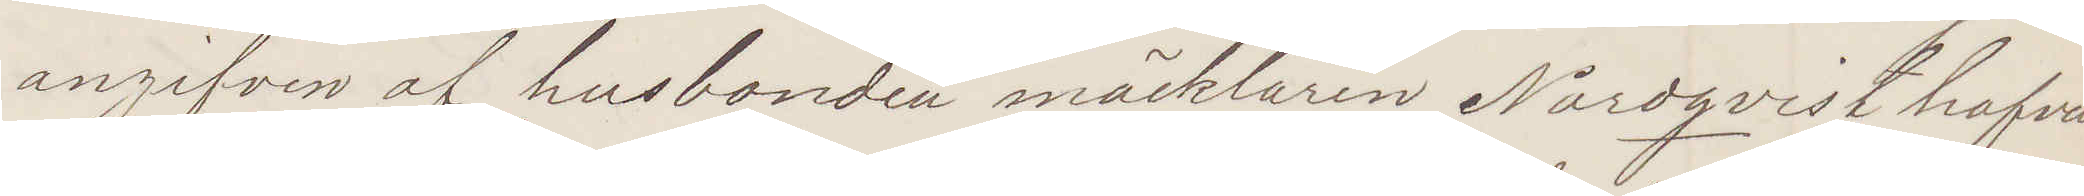angifven af husbonden mäklaren Nordqvist hafva
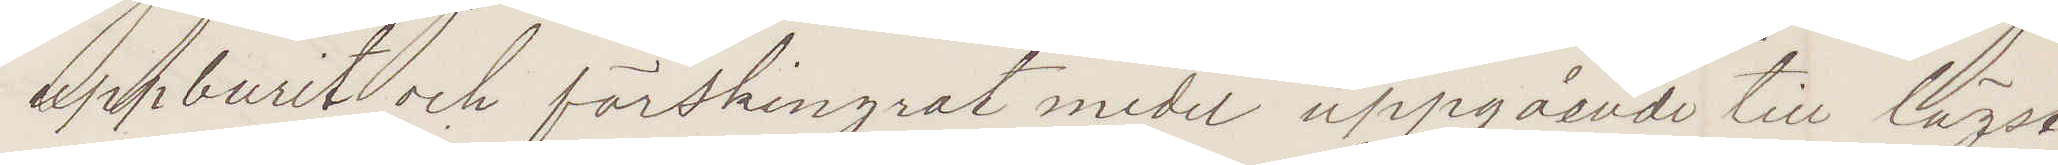uppburit och förskingrat medel uppgående till lägst
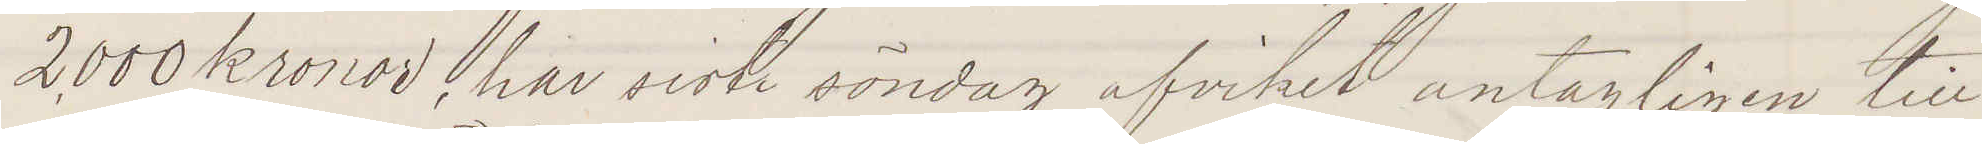2000 kronor, har sistl söndag afvikit antagligen till
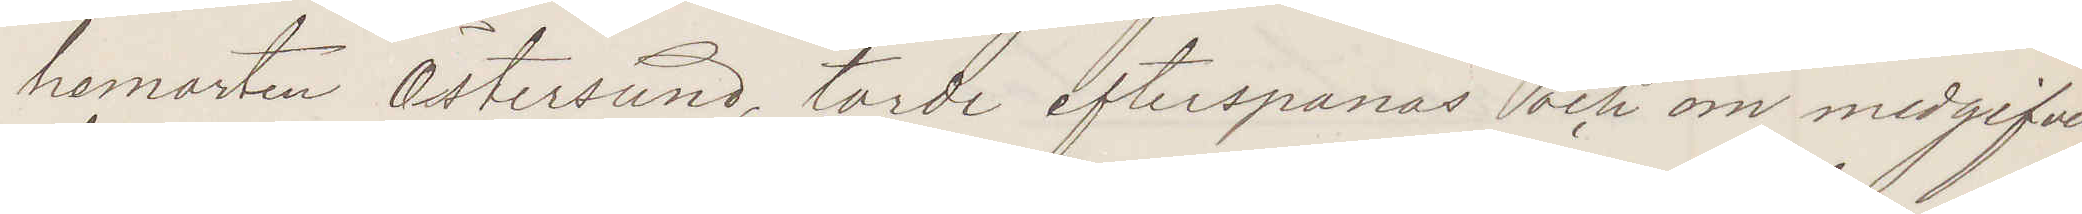hemorten Östersund, torde efterspanas och om medgifver
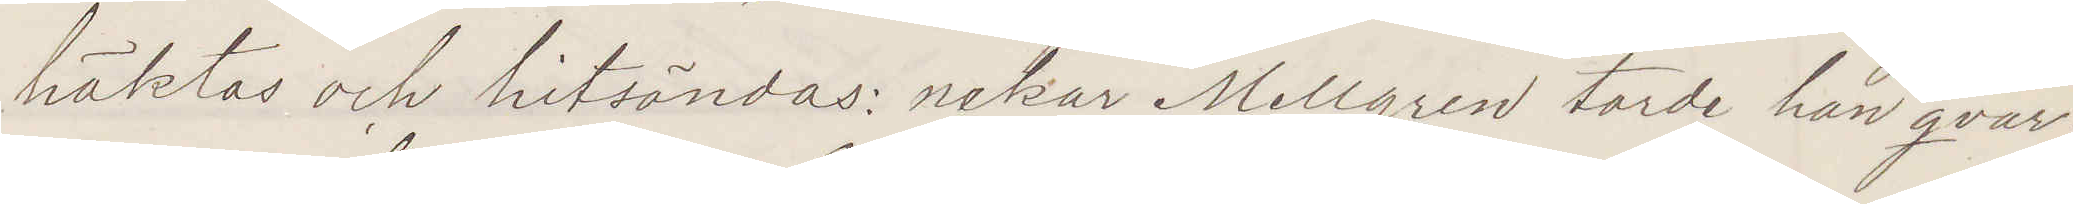häktas och hitsändas: nekar Mellgren torde han qvar¬
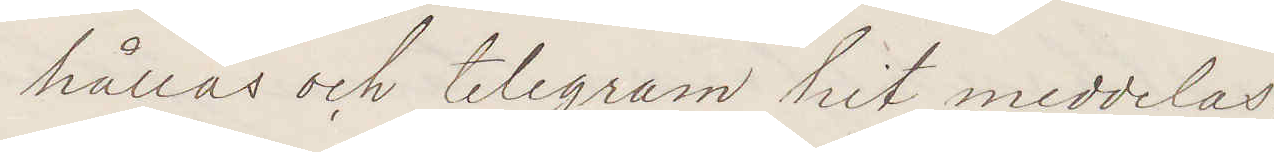hållas och telegram hit meddelas.
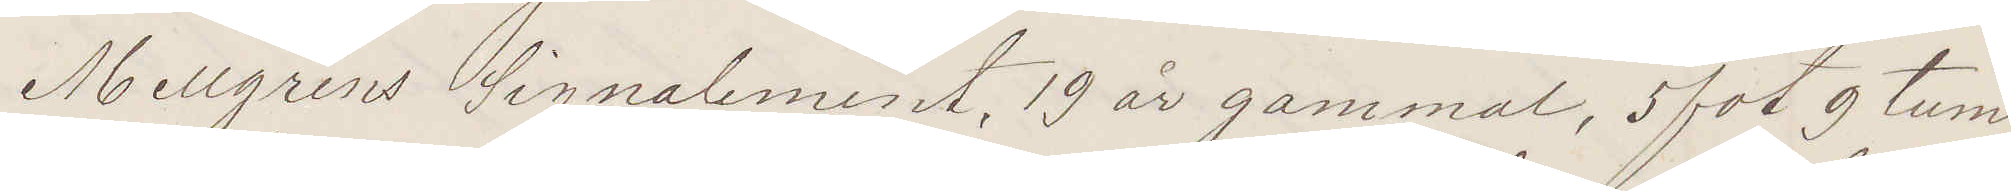Mellgrens Signalement 19 år gammal, 5 fot 9 tum
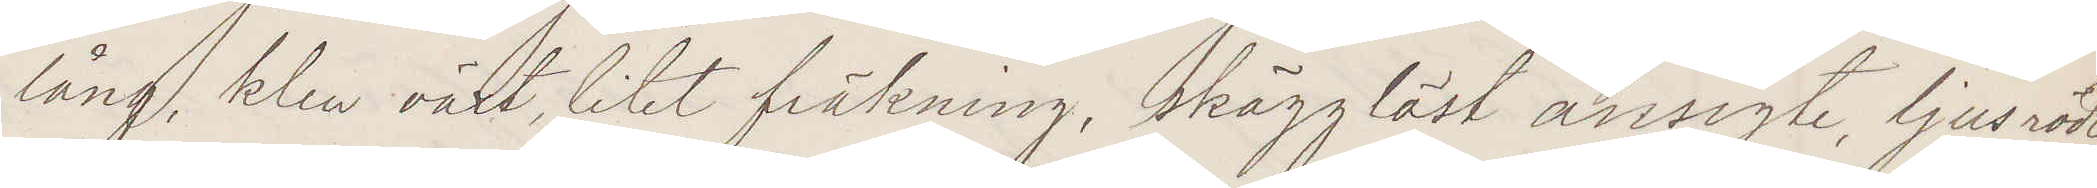lång, klen växt, litet fräknig, skägglöst ansigte, ljusrödt
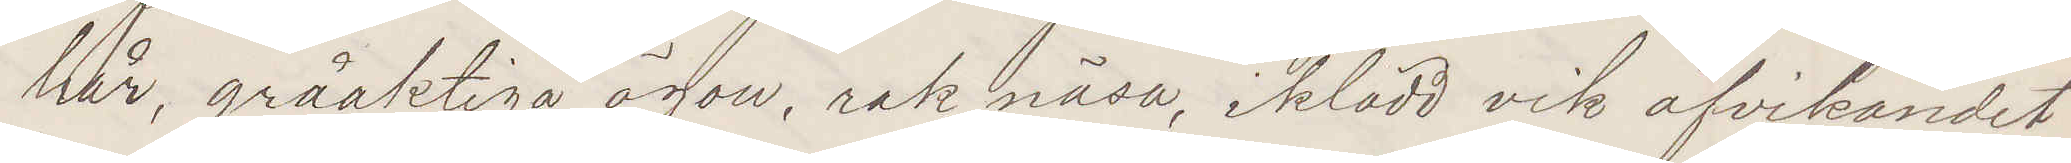hår, gråaktiga ögon, rak näsa, iklädd vik afvikandet
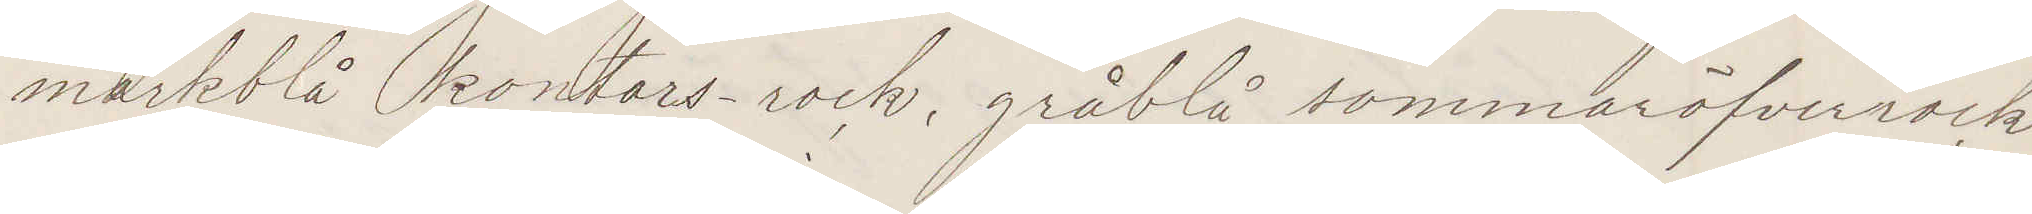mörkblå kontors-rock, gråblå sommaröfverrock
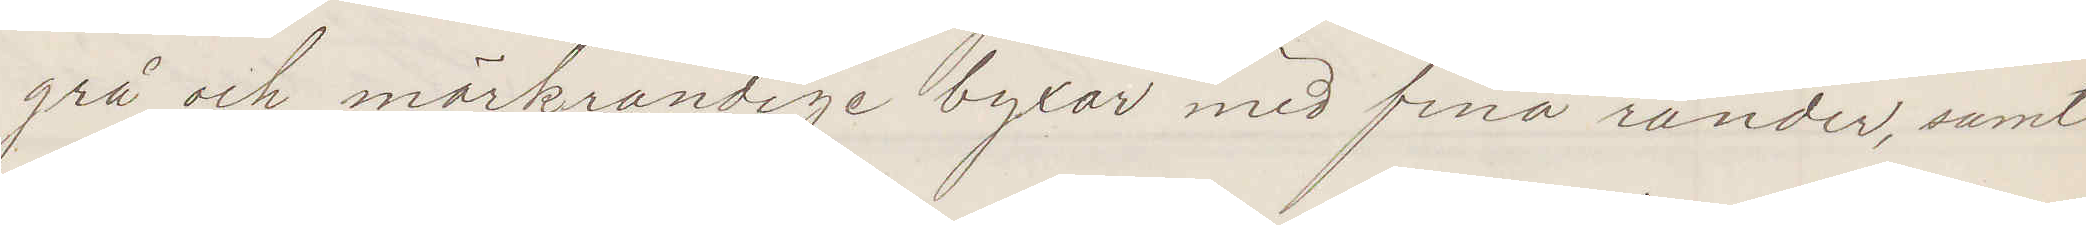grå och mörkrandiga byxor med fina ränder samt
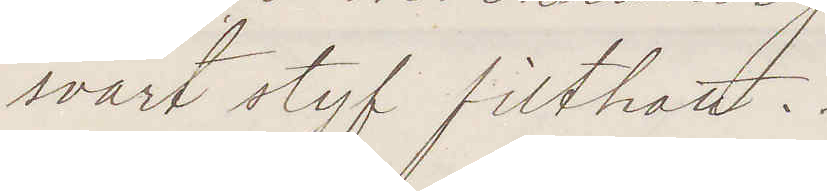svart styf filthatt.
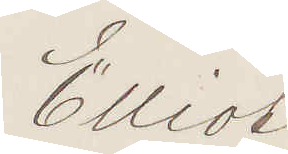Elliot
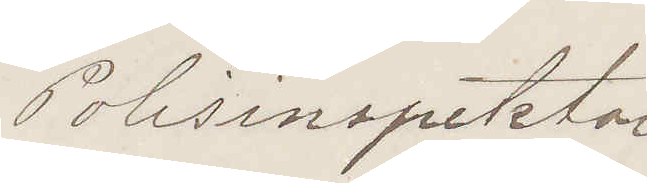Polisinspektor
